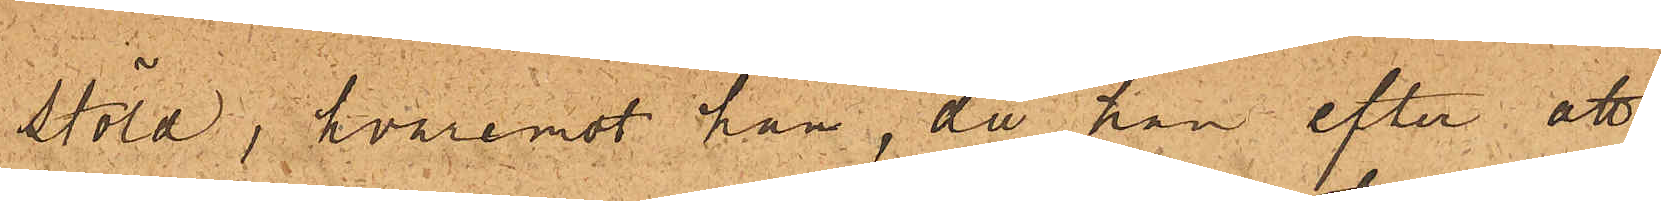stöld, hvaremot han, då han efter att
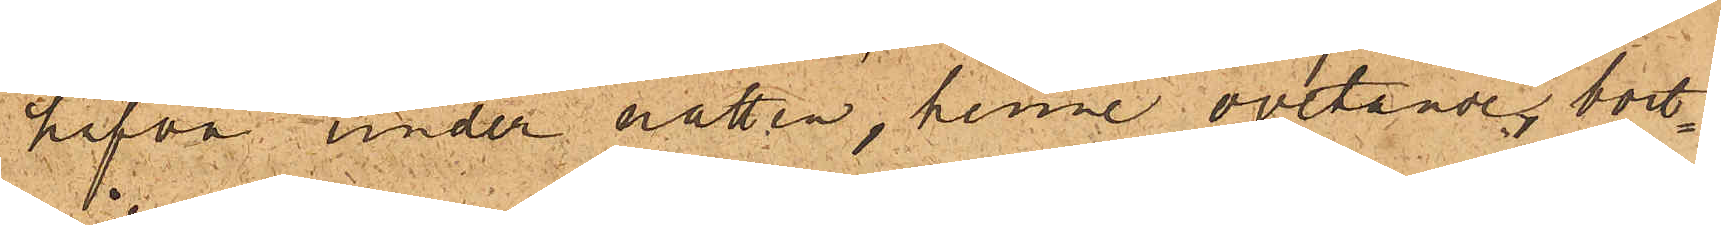hafva under natten, henne ovetande, bort¬
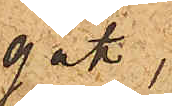gått,
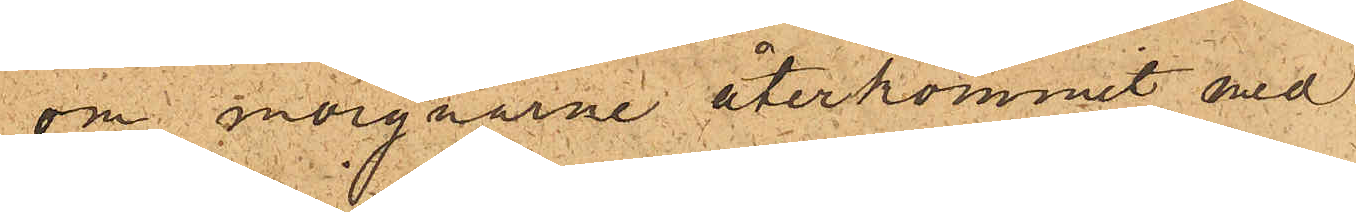om morgnarne återkommit med
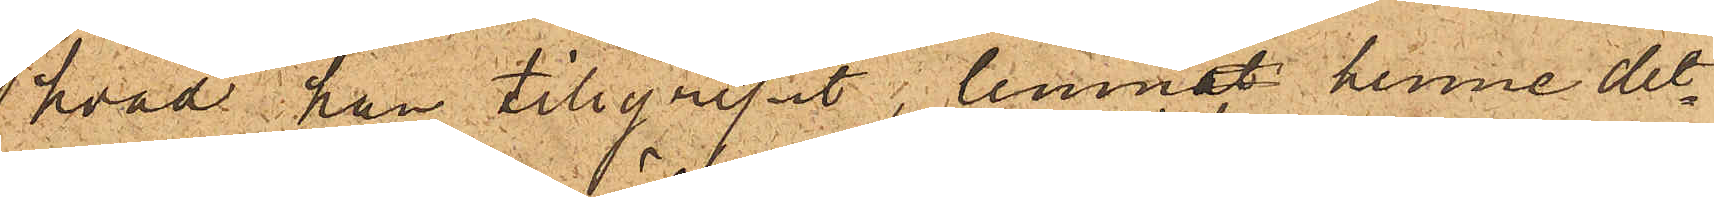hvad han tillgripit, lemnat henne det¬
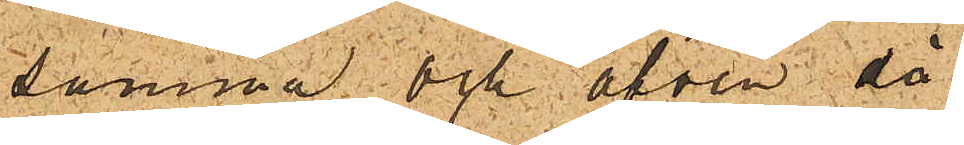samma och äfven då
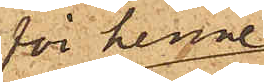för henne
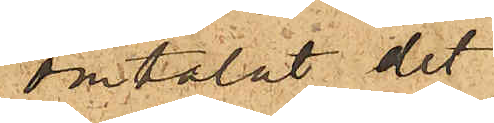omtalat det
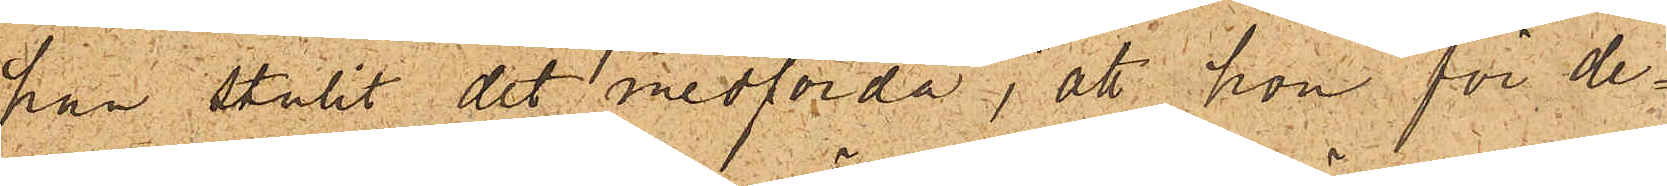han stulit det medförda; att hon för de¬
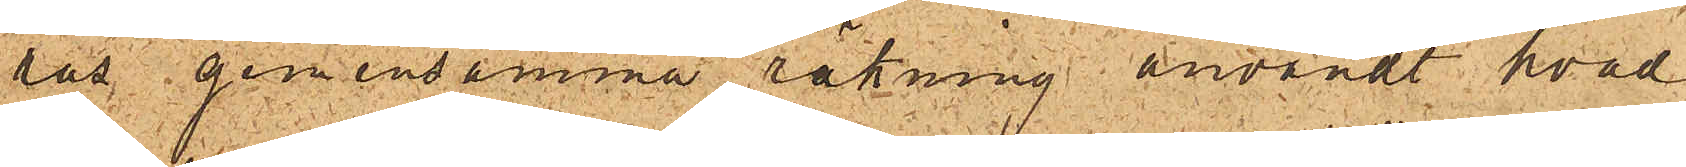ras gemensamma räkning användt hvad
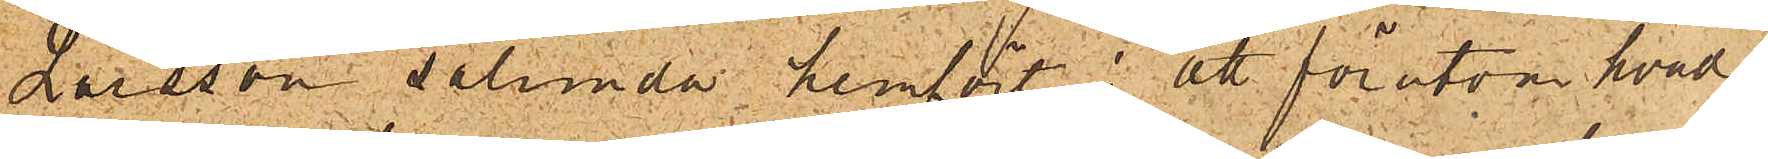Larsson sålunda hemfört; att förutom hvad
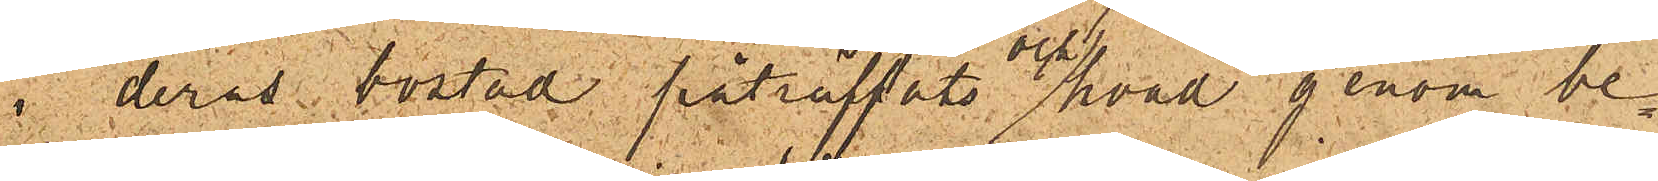 i deras bostad påträffats och hvad genom be¬
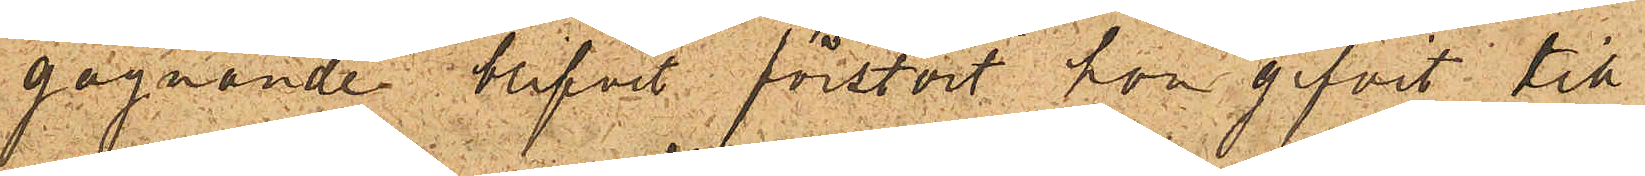gagnande blifvit förstört hon gifvit till
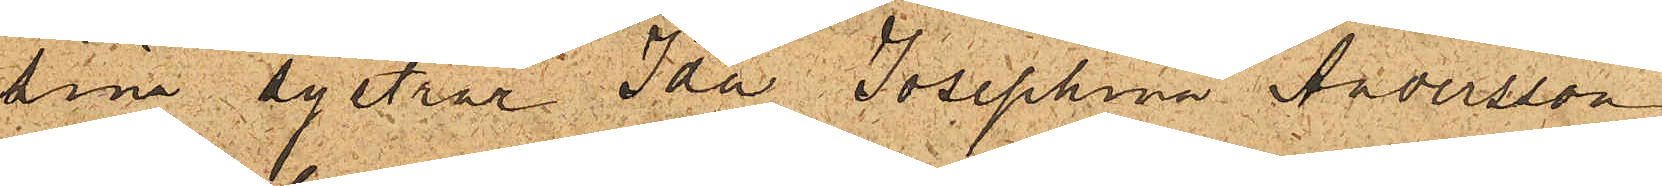sina systrar Ida Josephina Andersson
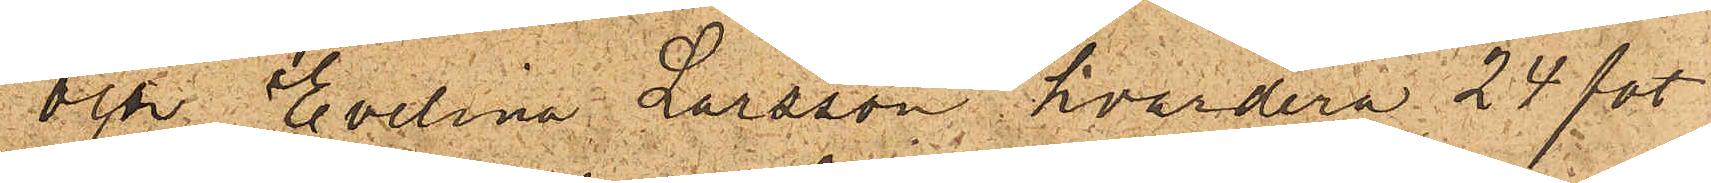och Evelina Larsson, hvardera 24 fot
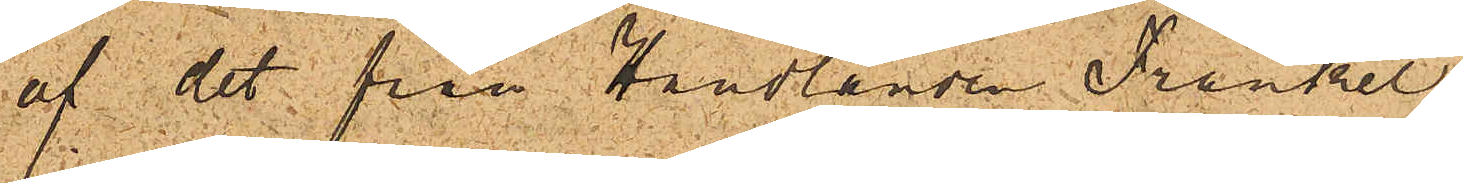af det från Handlanden Fränkel
